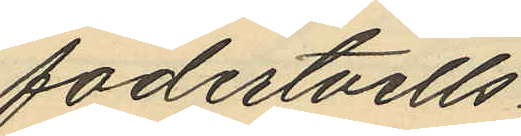fodertvills
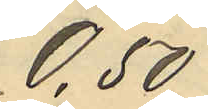0,50
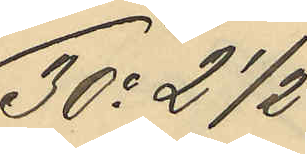30o 2 1/2
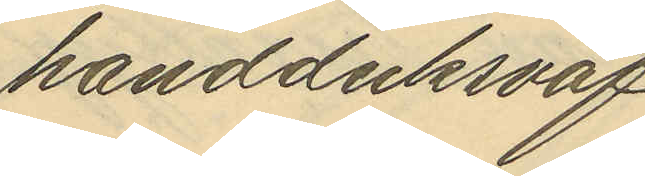handduksväf
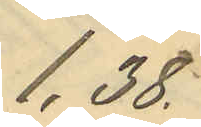1,38
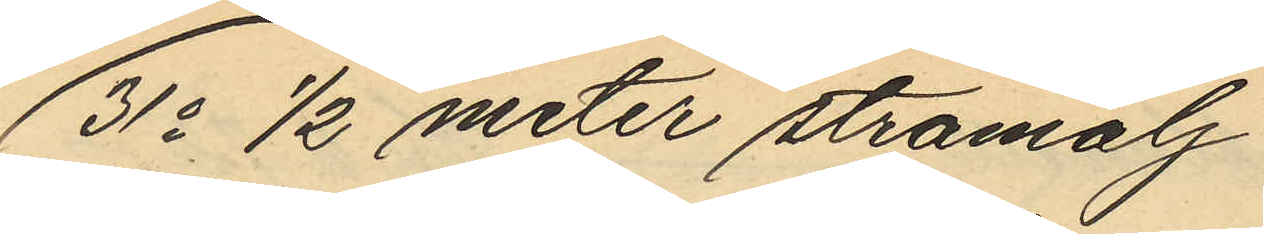31o 1/2 meter stramalj
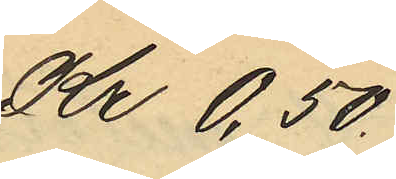Kr 0,50.
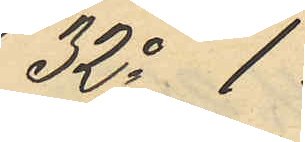32o 1
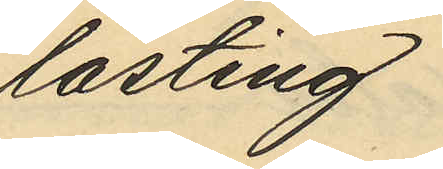lasting
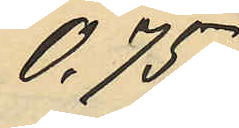0,75
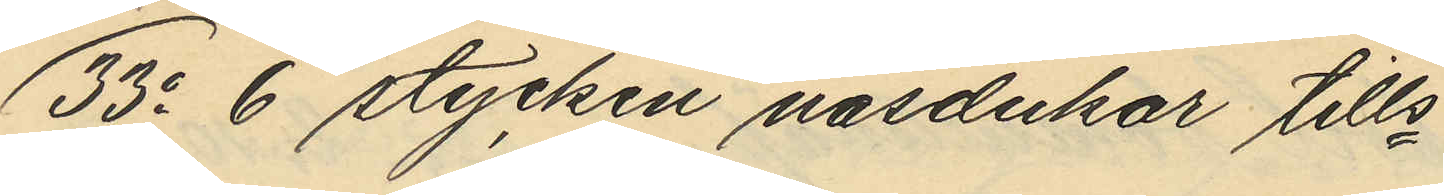33o 6 stycken näsdukar tills
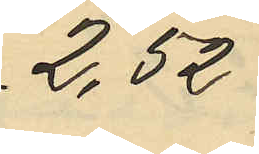2,52
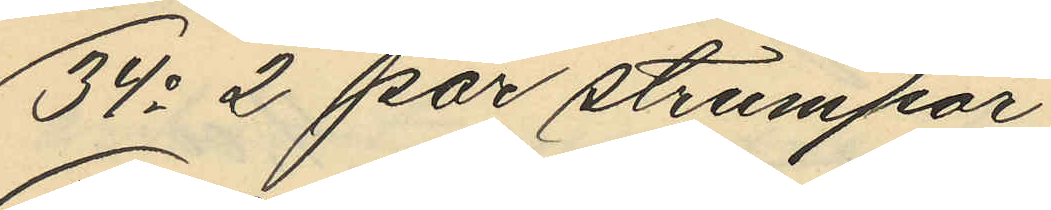34o 2 par strumpor
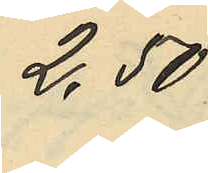2,50
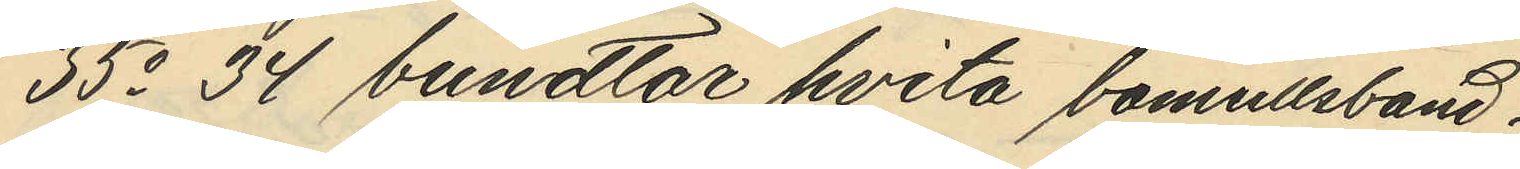35o 34 bundtar hvita bomullsband
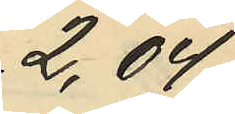2,04
